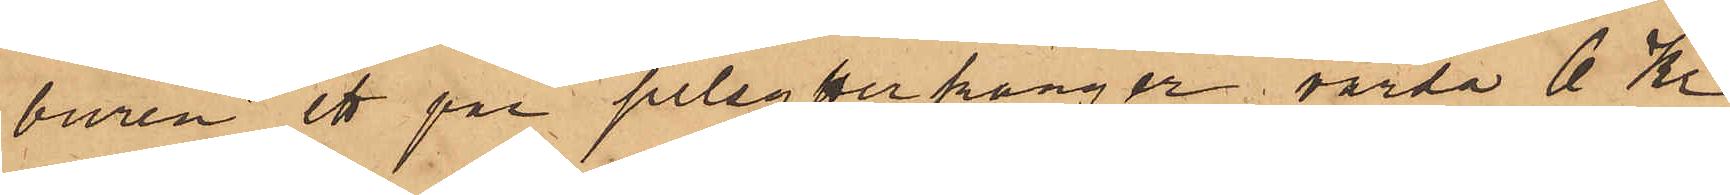buren ett par pelsytterkänger värda 6 Kr
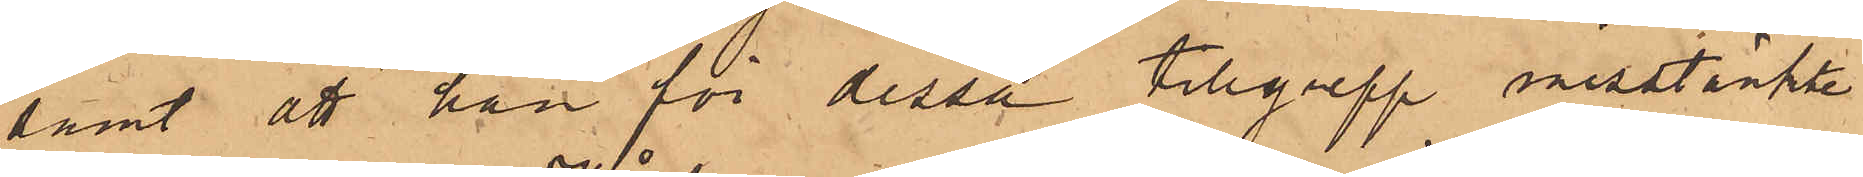samt att han för dessa tillgrepp misstänkte
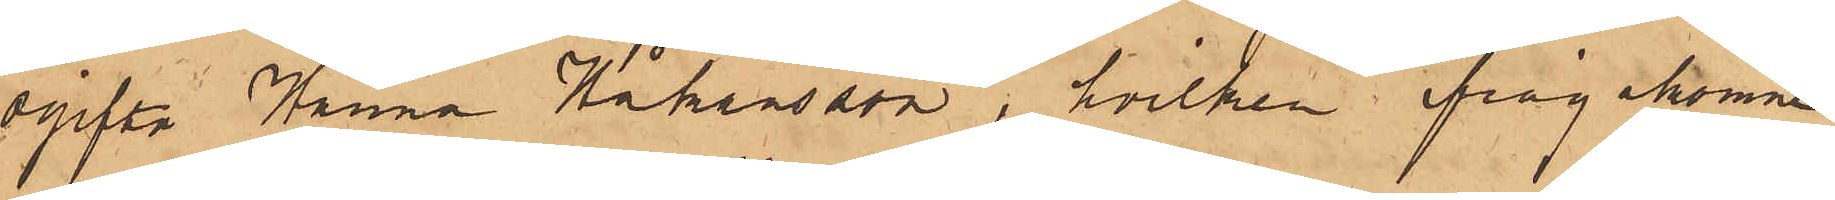ogifta Hanna Håkansson, hvilken ifrågakomne
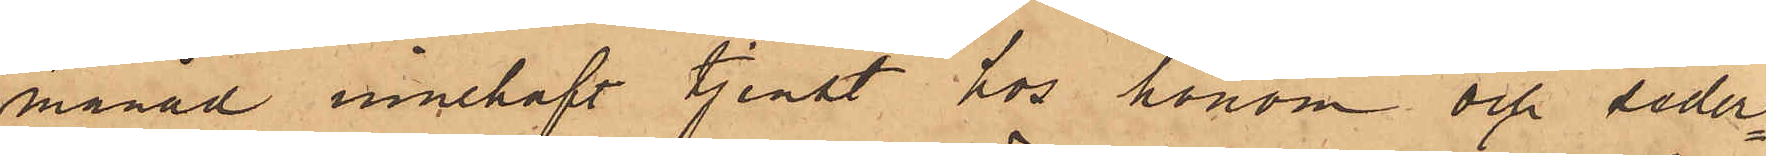månad innehaft tjenst hos honom och seder¬
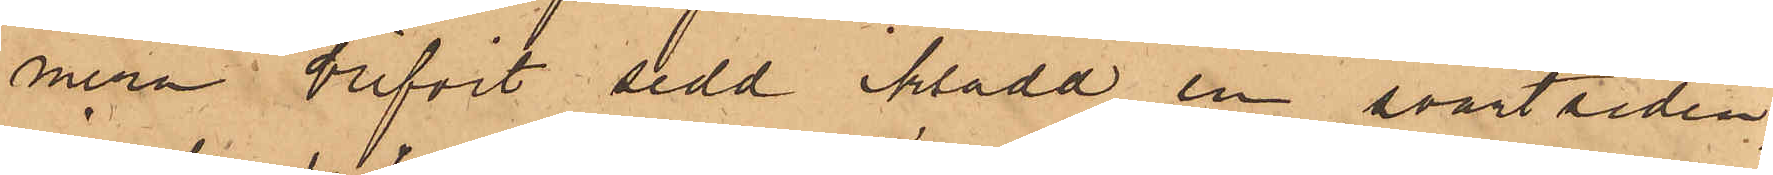mera blifvit sedd iklädd en svart siden¬
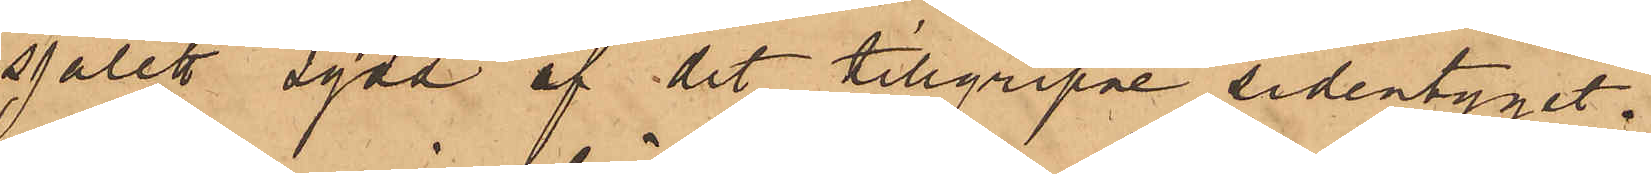sjalett sydd af det tillgripne sidentyget.
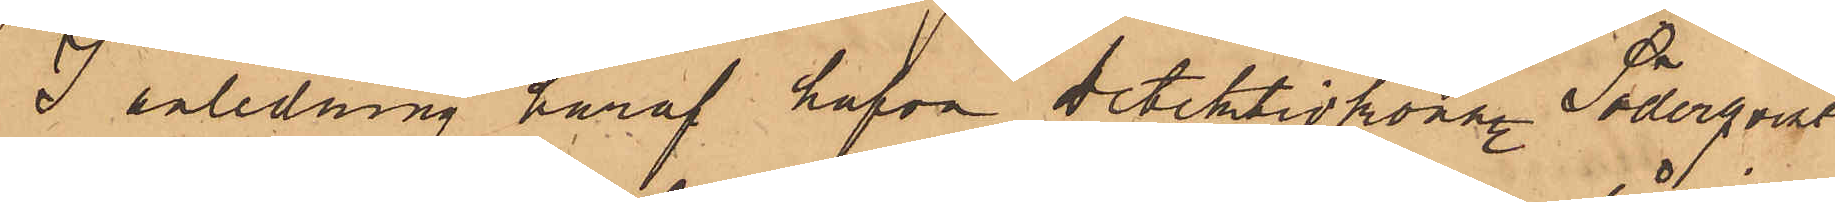I anledning häraf hafva detektivkonstl Söderqvist
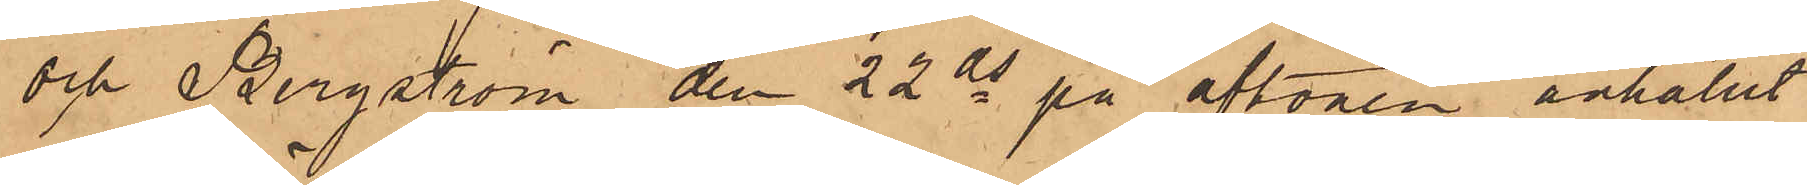och Bergström den 22 ds på aftonen anhållit
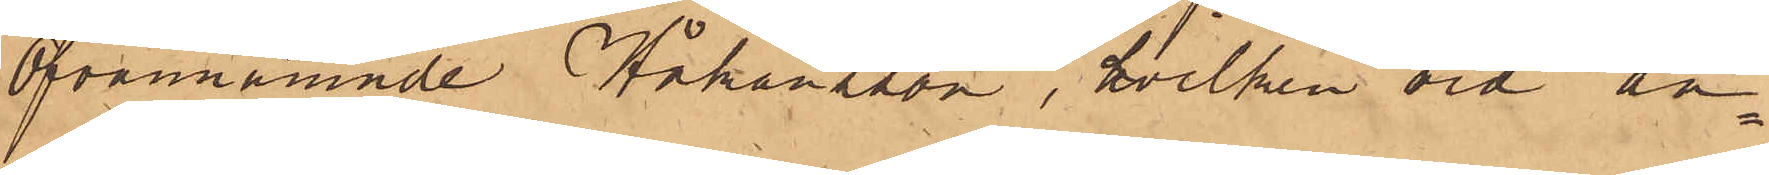ofvannämnde Håkansson, hvilken vid an¬
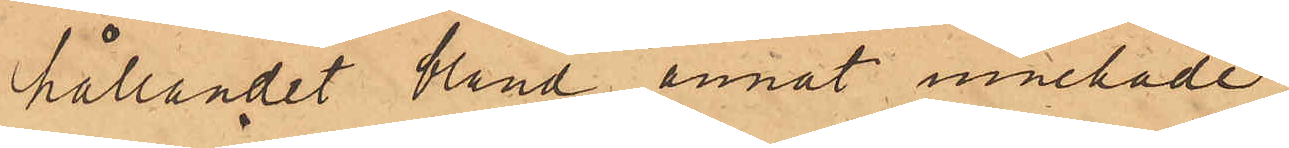hållandet bland annat innehade
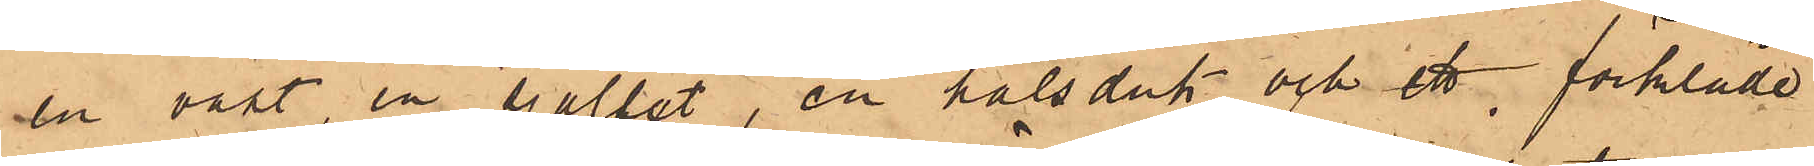en väst, en sjallet, en halsduk och ett förkläde
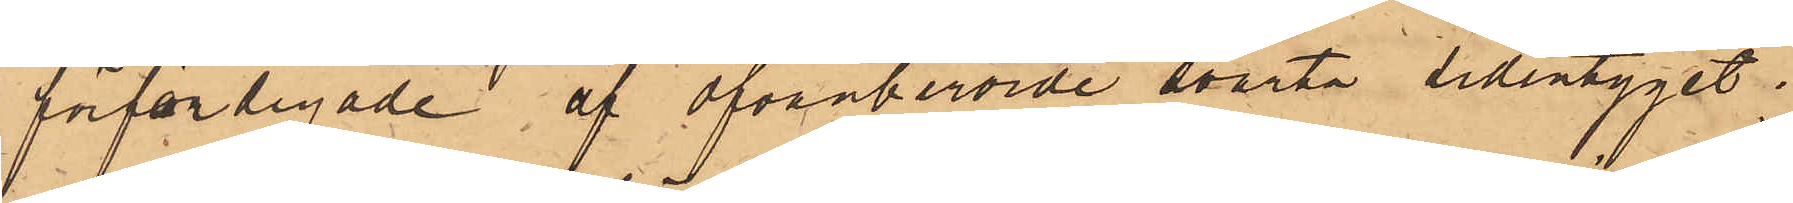förfärdigade af ofvanberörde svarta sidentyget;
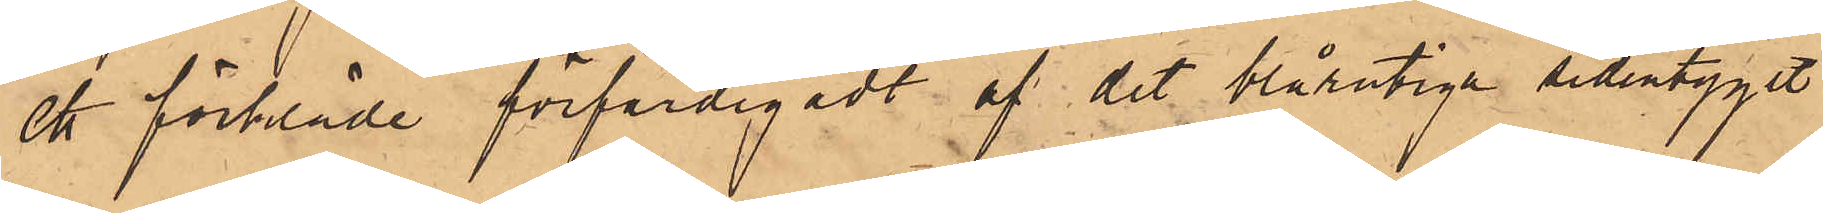ett förkläde förfärdigadt af det blårutiga sidentyget
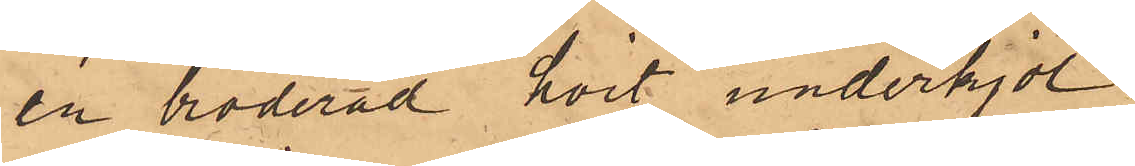en broderad hvit underkjol.
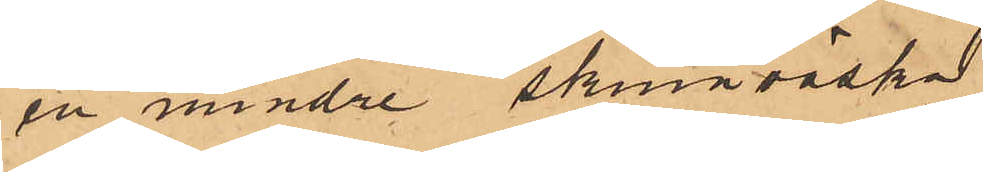en mindre skinnväska
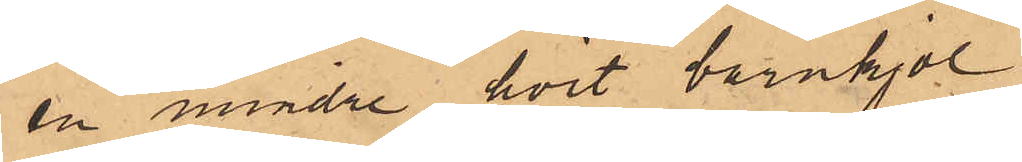en mindre hvit barnkjol
